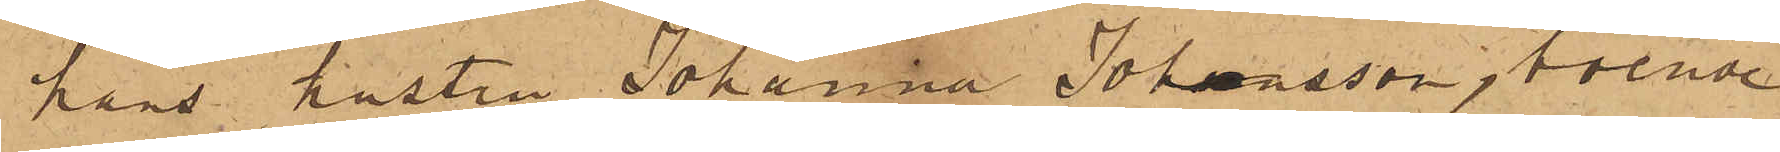hans hustru Johanna Johansson, boende
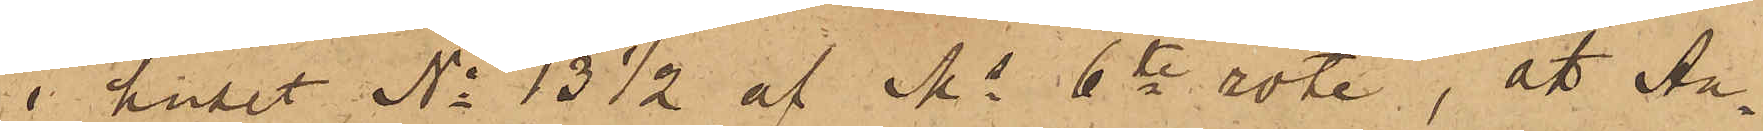i huset No 13 1/2 af Ms 6te rote, att An¬
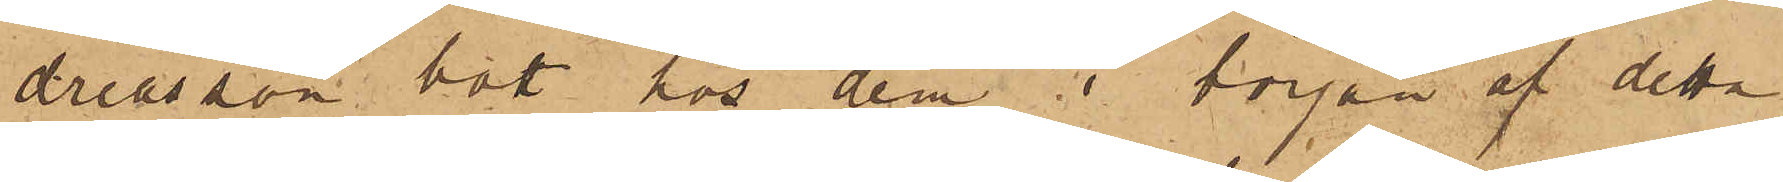dreasson bott hos dem i början af detta
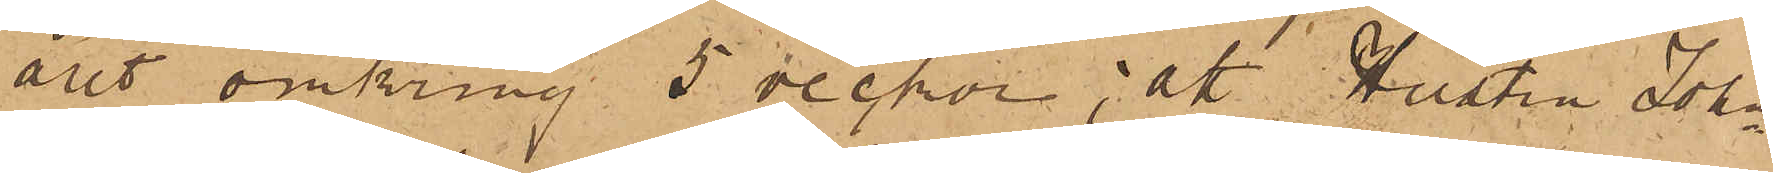året omkring 5 veckor; att Hustru John¬
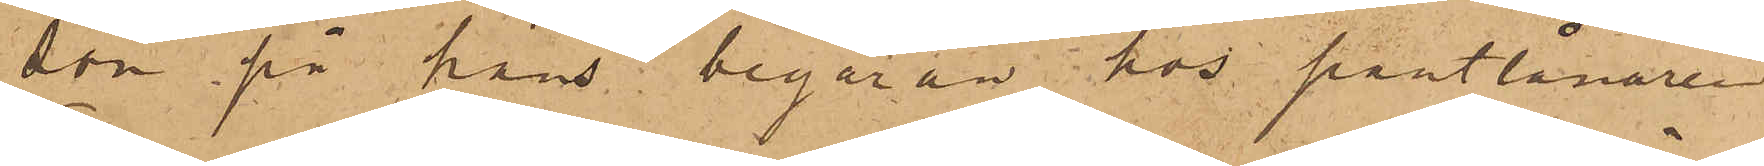son på hans begäran hos pantlånaren
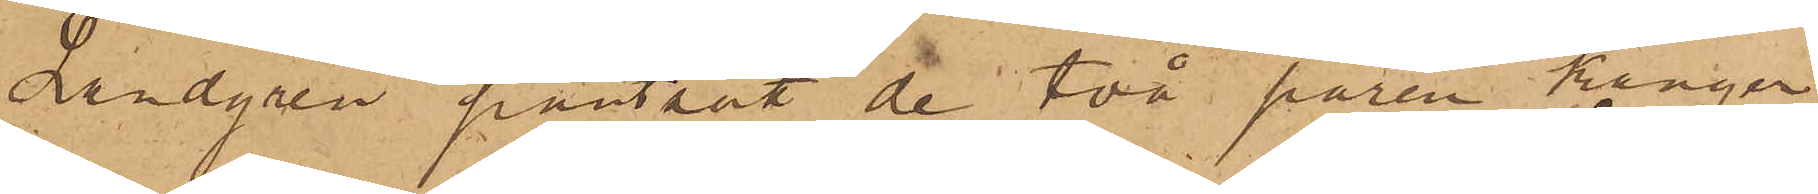Landgren pantsatt de två paren känger,
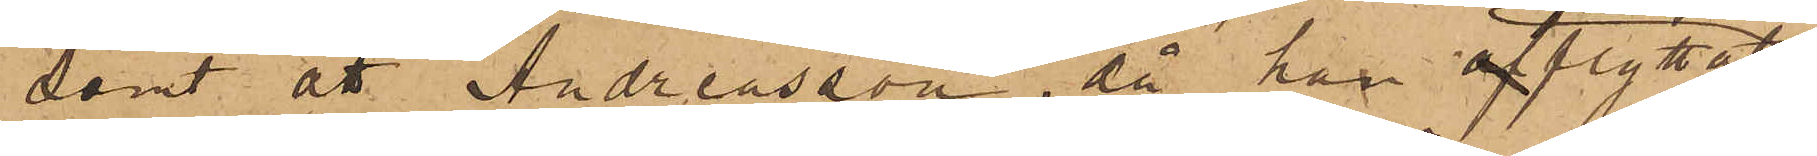Samt att Andreasson, då han afflyttat
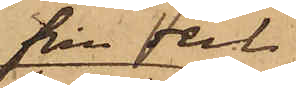från dem
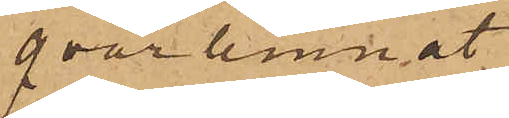qvarlemnat
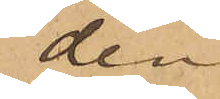den
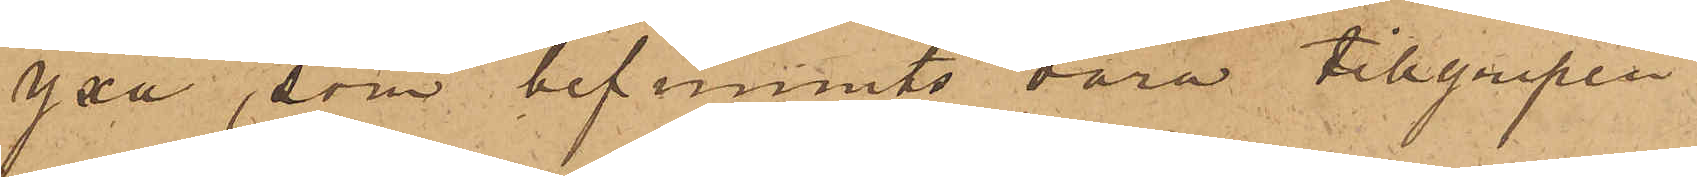yxa, som befunnits vara tillgripen
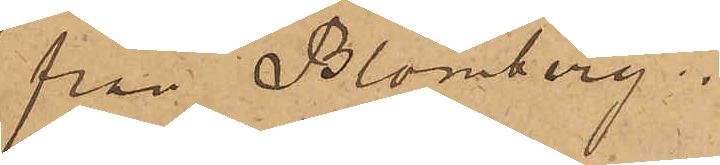från Blomberg.
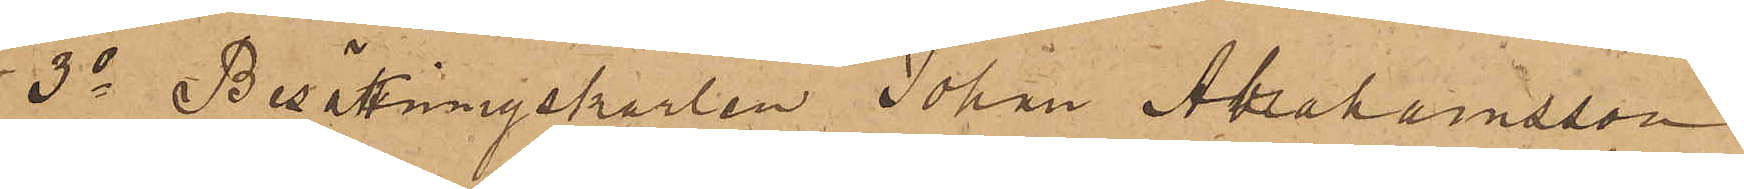3o Besättningskarlen Johan Abrahamsson
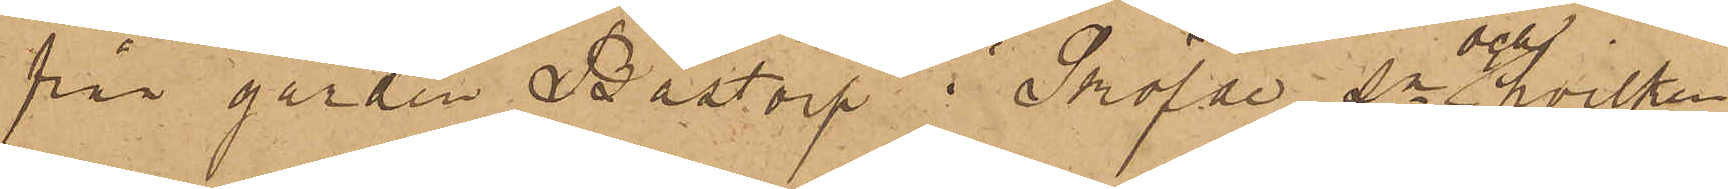från gården Bästorp i Sköfde Sn och hvilken
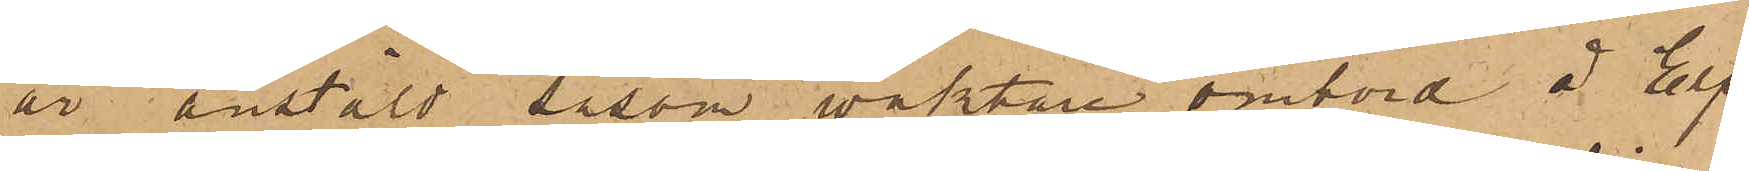är anstäld såsom vaktare ombord å Elf¬
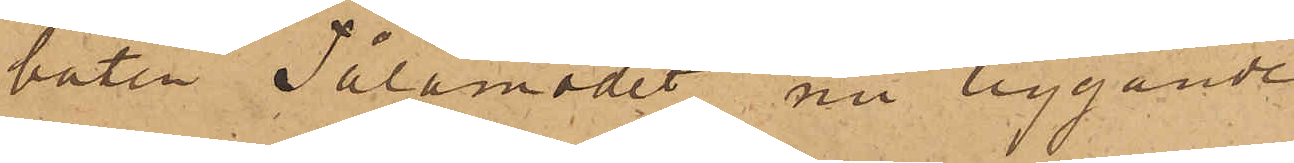båten "Tålamodet" nu liggande
